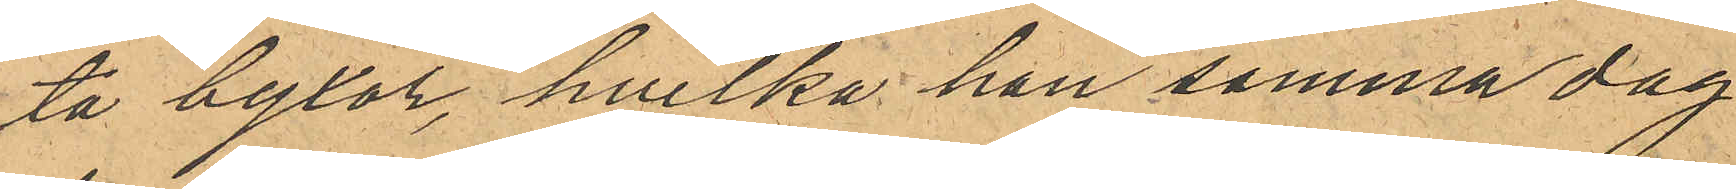ta byxor, hvilka han samma dag
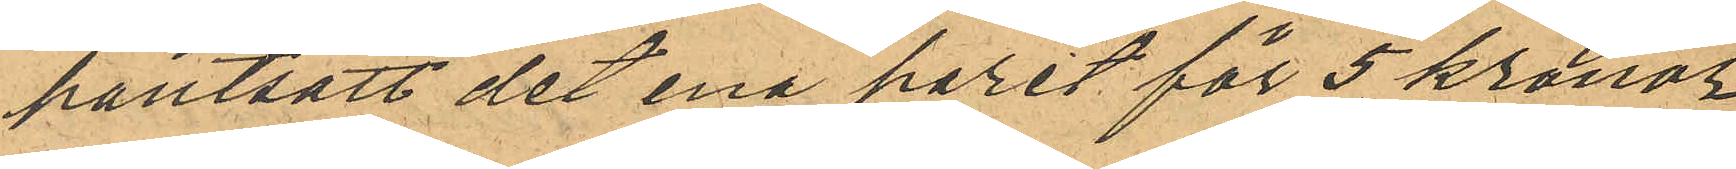pantsatt det ena paret för 5 kronor
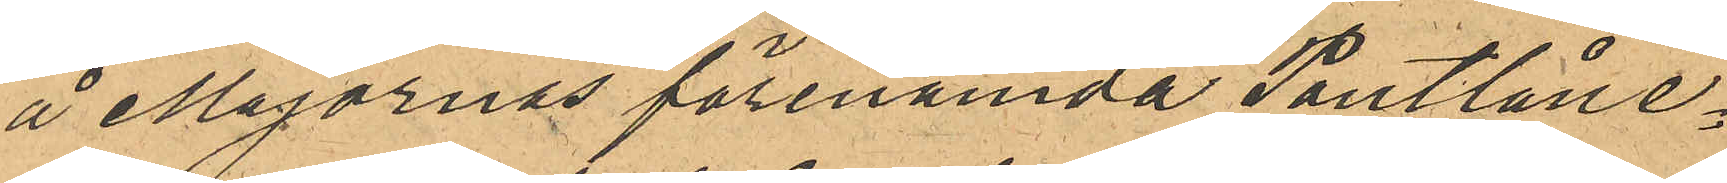å Majornas förenämda Pantlåne¬
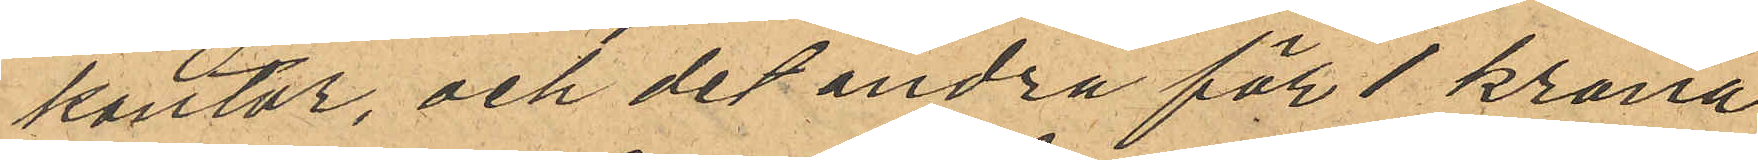kontor, och det andra för 1 krona
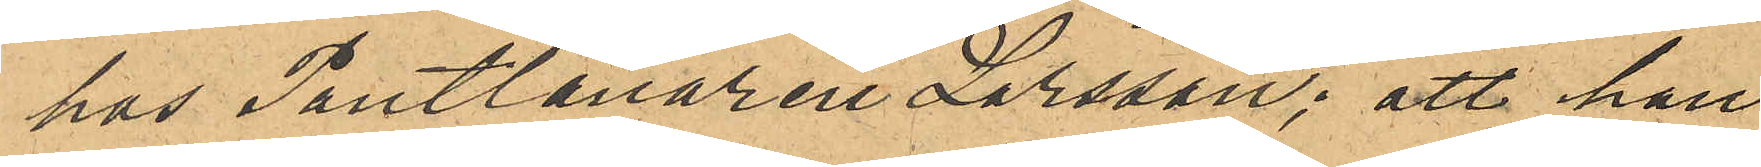hos Pantlånaren Larsson; att han
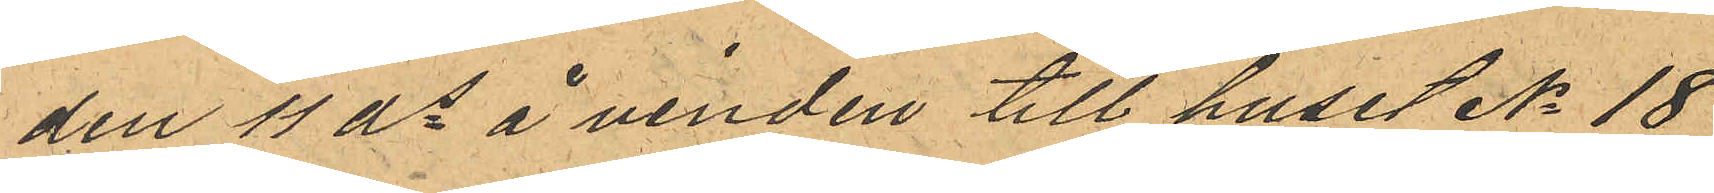den 11 ds å vinden till huset No 18
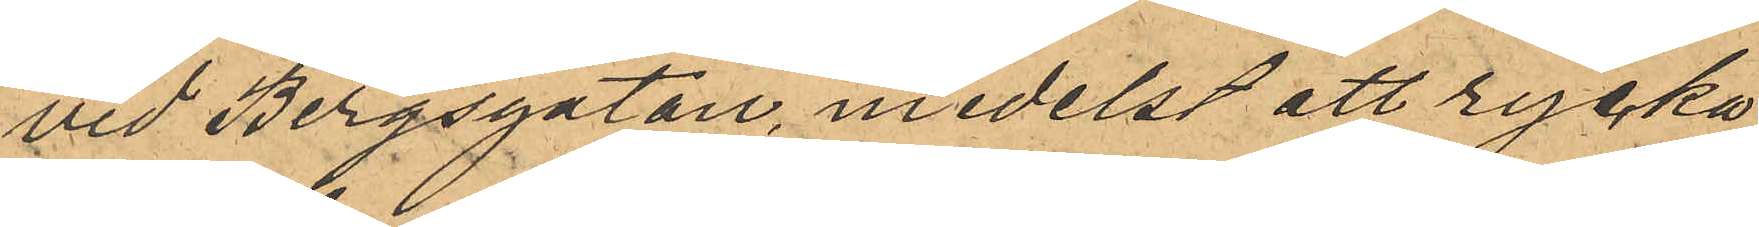vid Bergsgatan, medelst att rycka
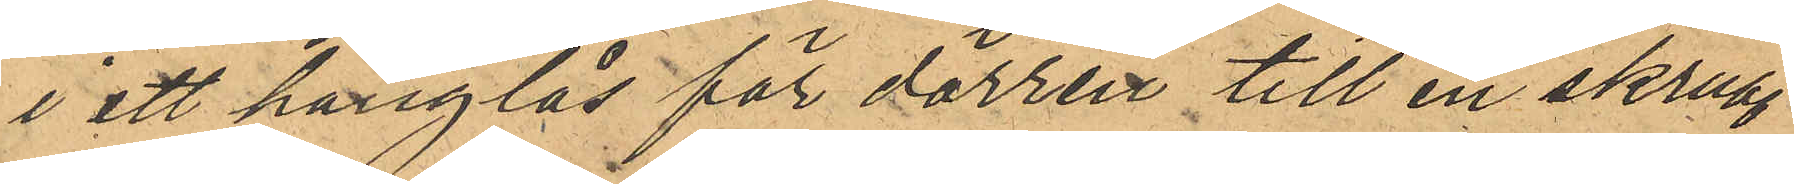i ett hanglås för dörren till en skrubb
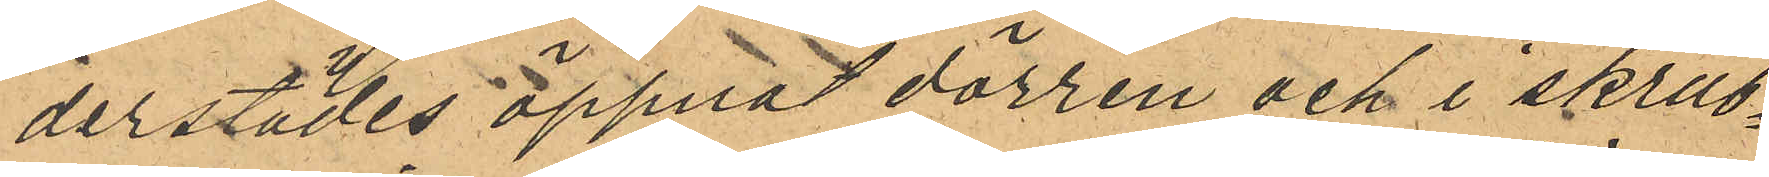derstädes öppnat dörren och i skrub¬
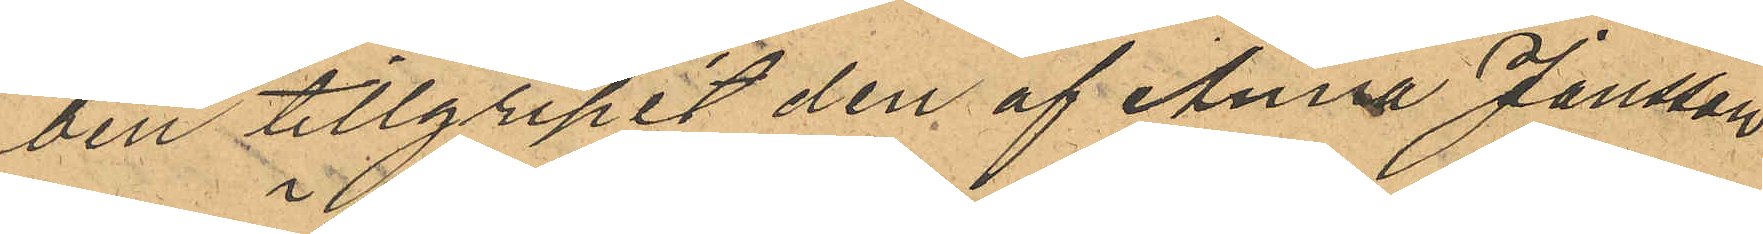ben tillgripit den af Anna Jansson
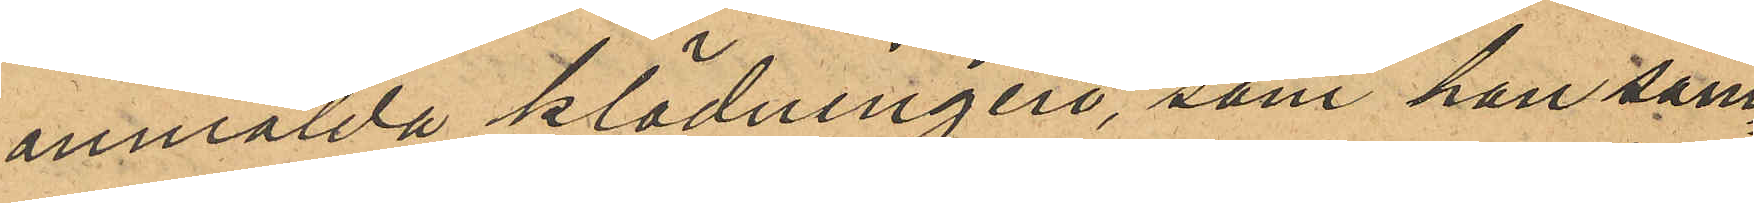anmälda klädningen, som han sam¬
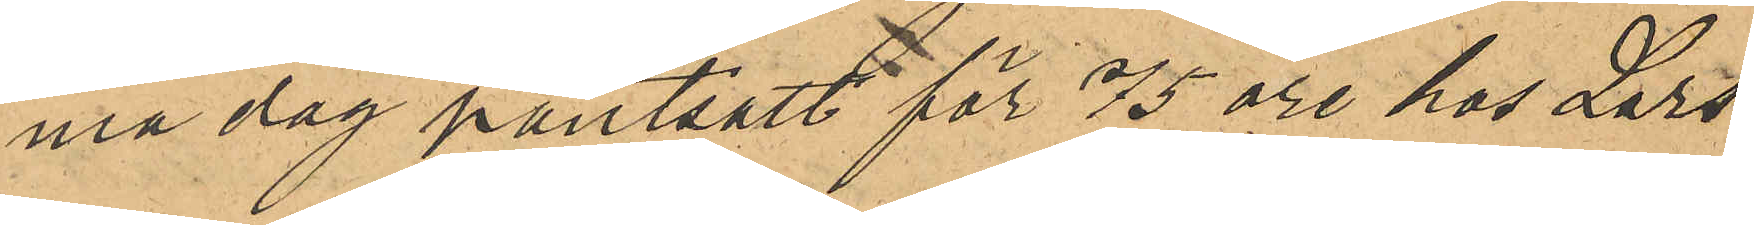ma dag pantsatt för 75 öre hos Lars¬
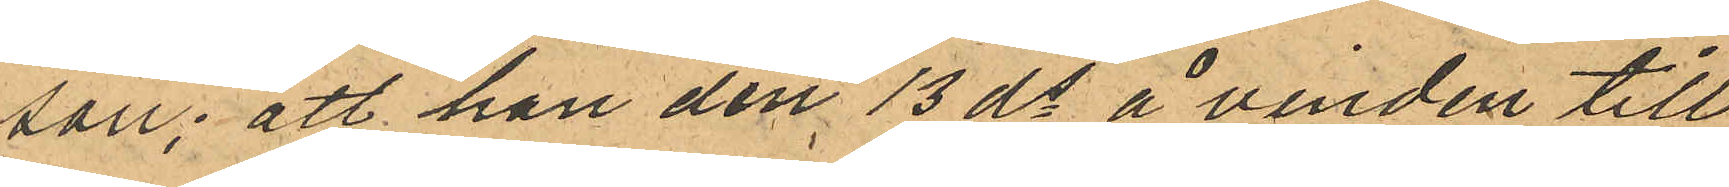son; att han den 13 ds å vinden till
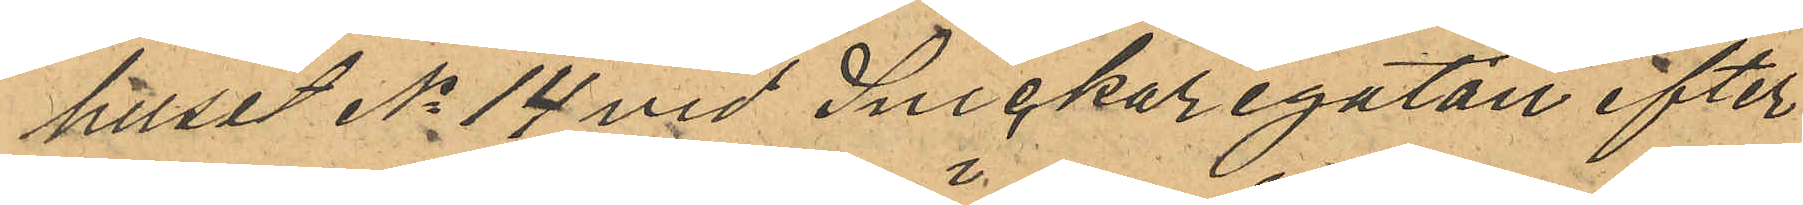huset No 14 vid Snickaregatan efter
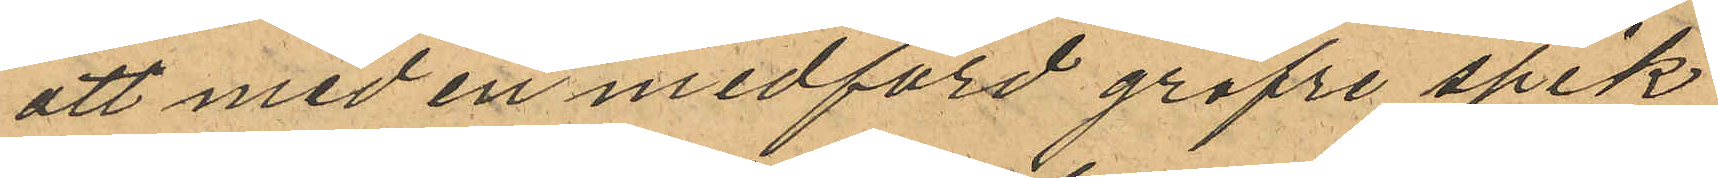att med en medförd gröfre spik
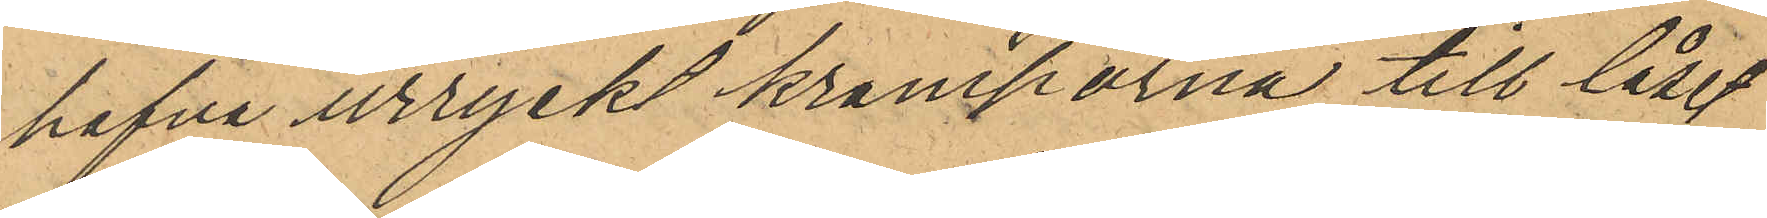hafva urryckt kramporna till låset
